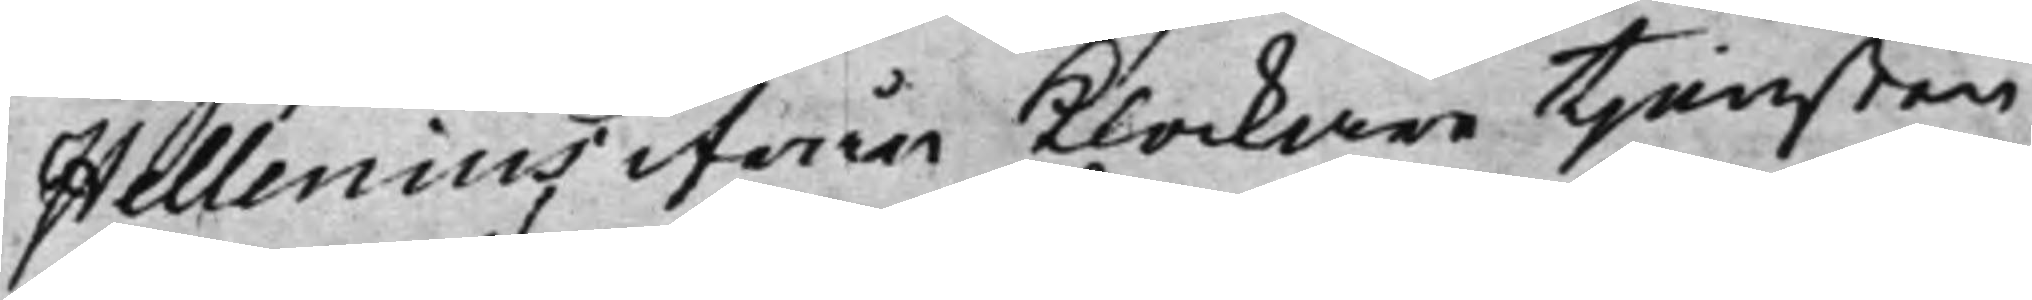Hellenius ifrån Klockare tjensten
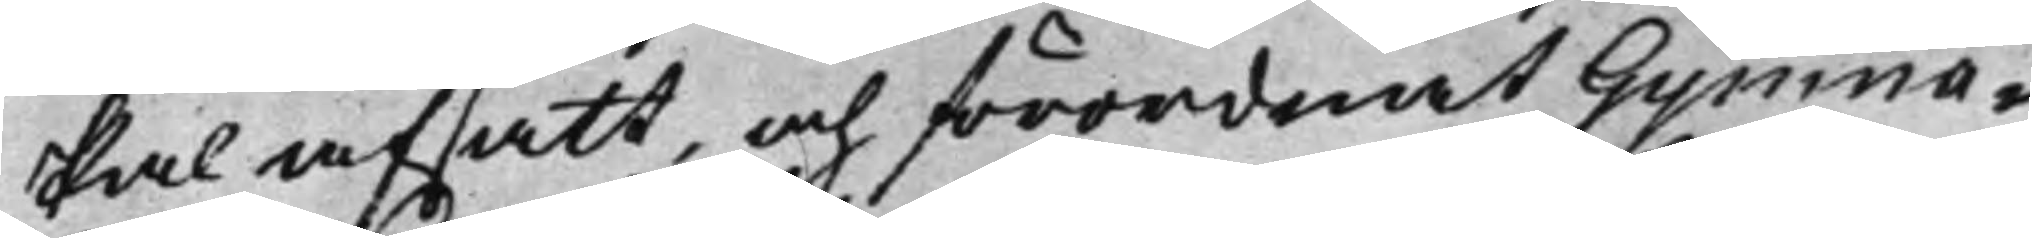skal afsatt, och förordnat Gymna¬
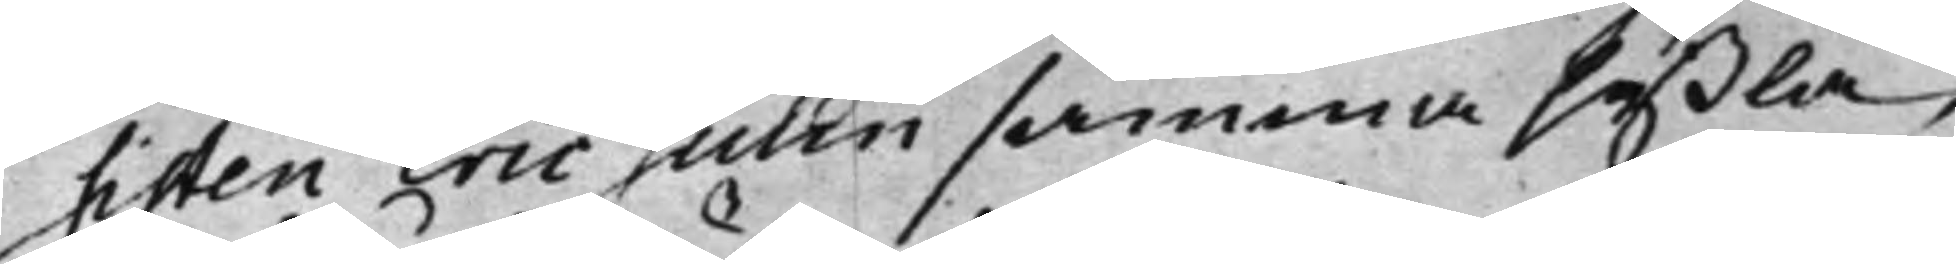sisten Eric Julin samma syßla,
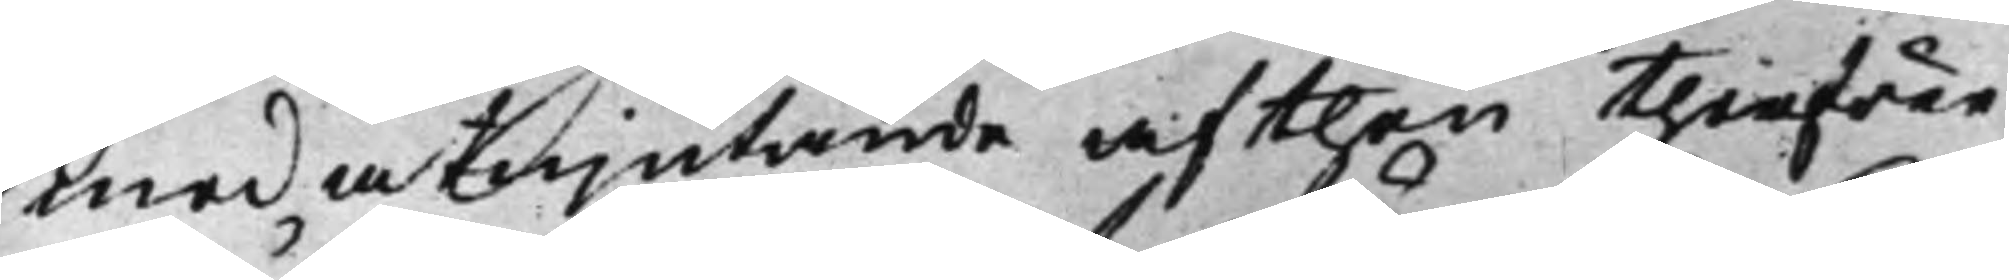med åtnjutande af then therföre
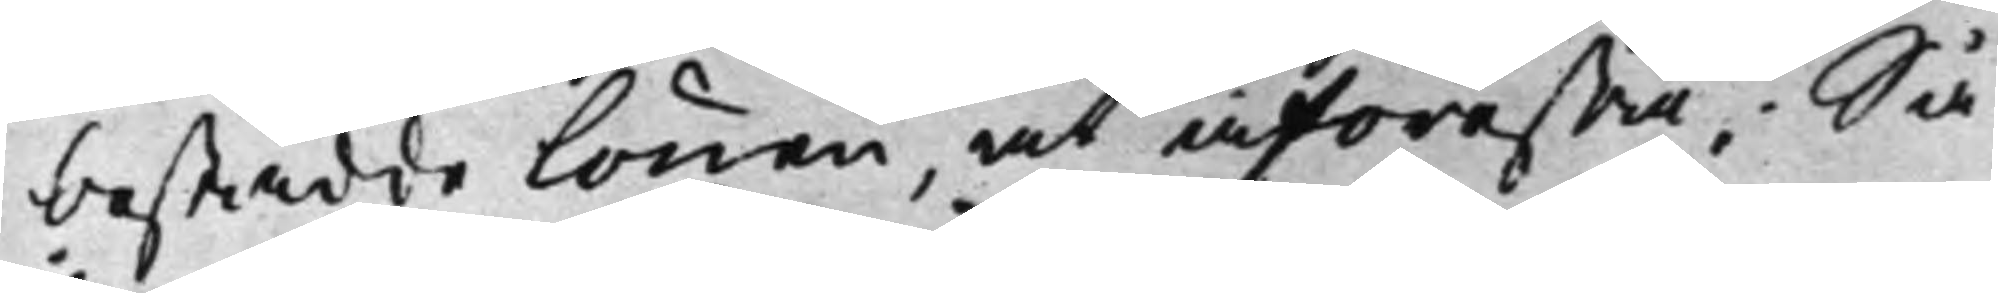bestådde lönen, at åförestå; Så
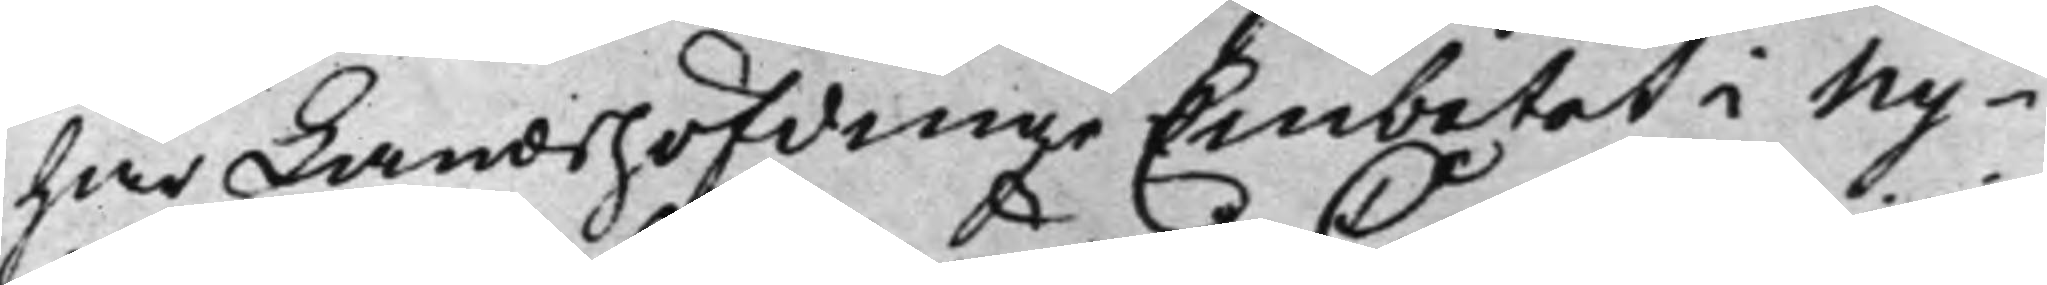har Landshöfdinge Embetet i Ny¬
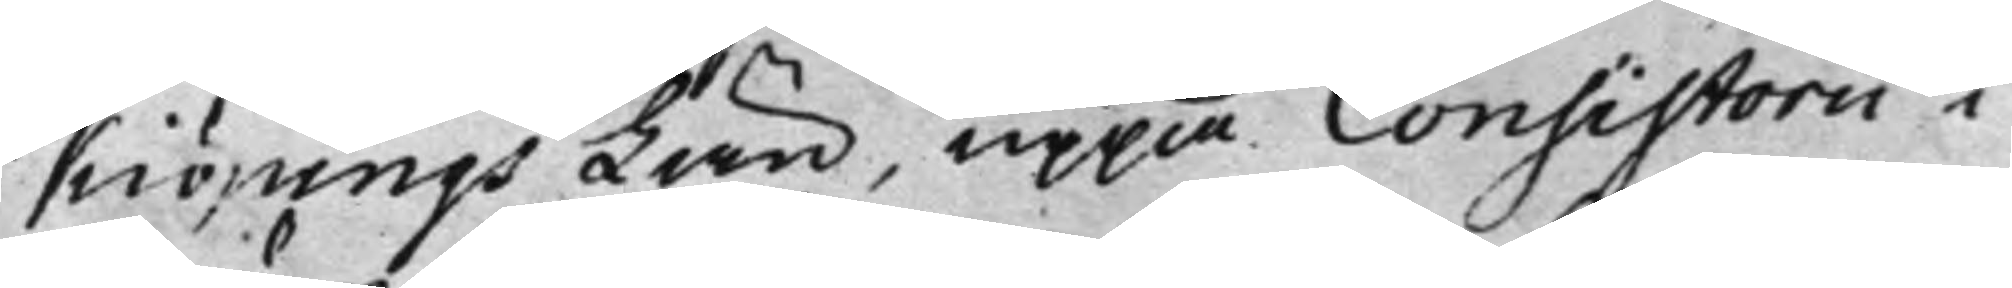Kiöpings Län, uppå Consistorii i
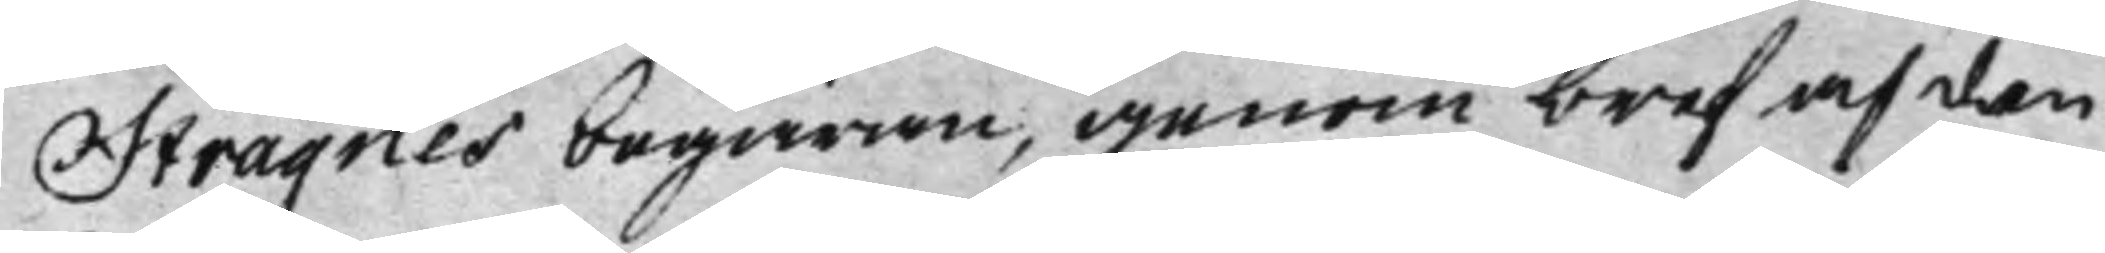Strägnes begäran, genom bref af den
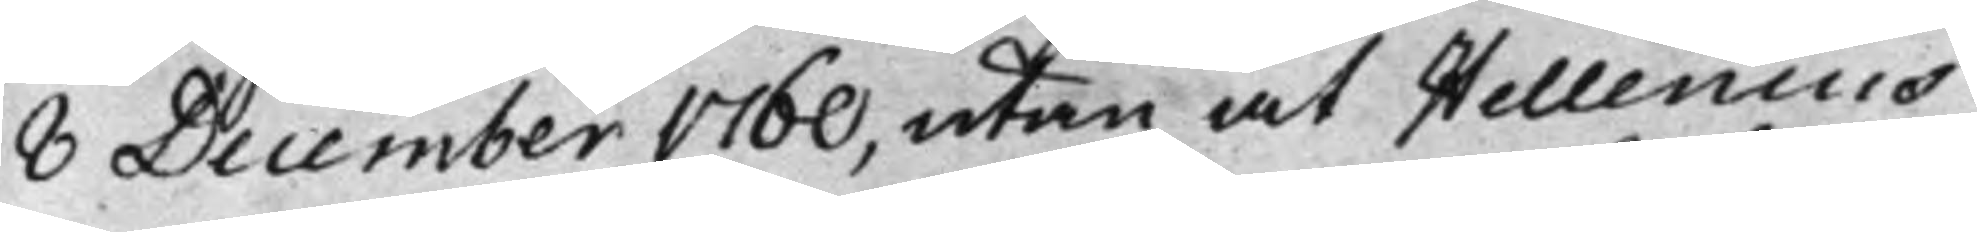8 December 1760, utan at Hellenius
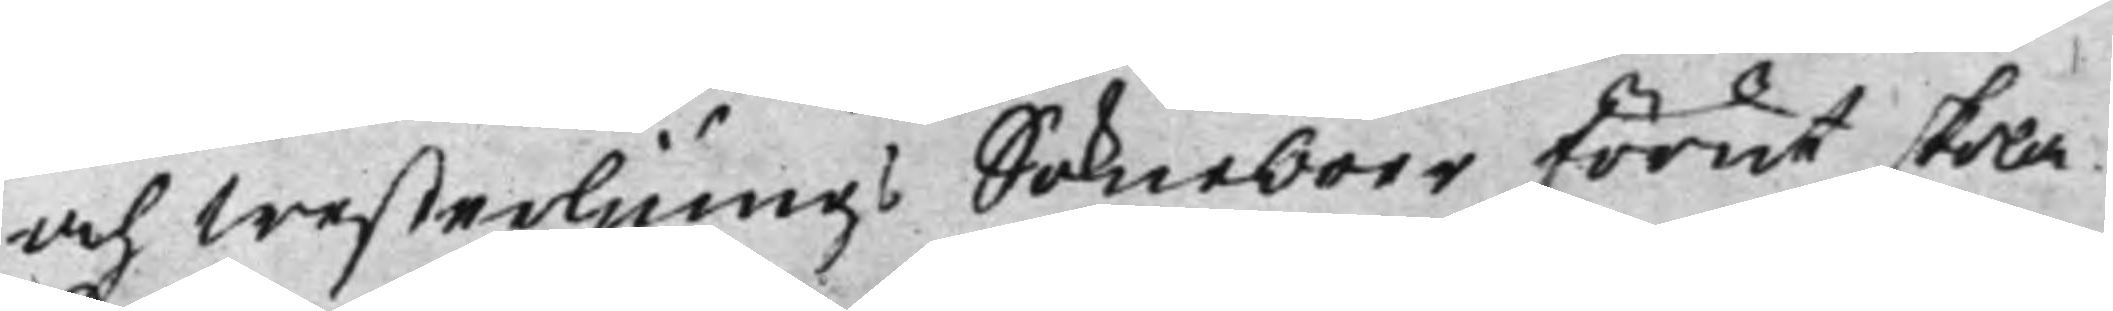och Westerljungs Sokneboer förut skola
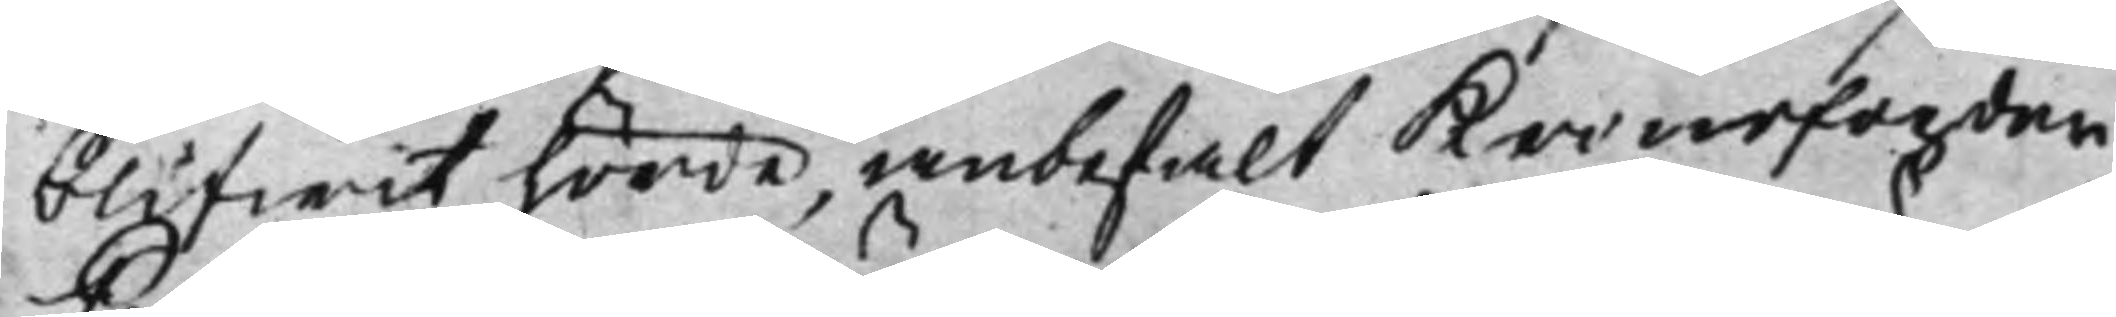blifwit hörde, anbefalt Kronofogden
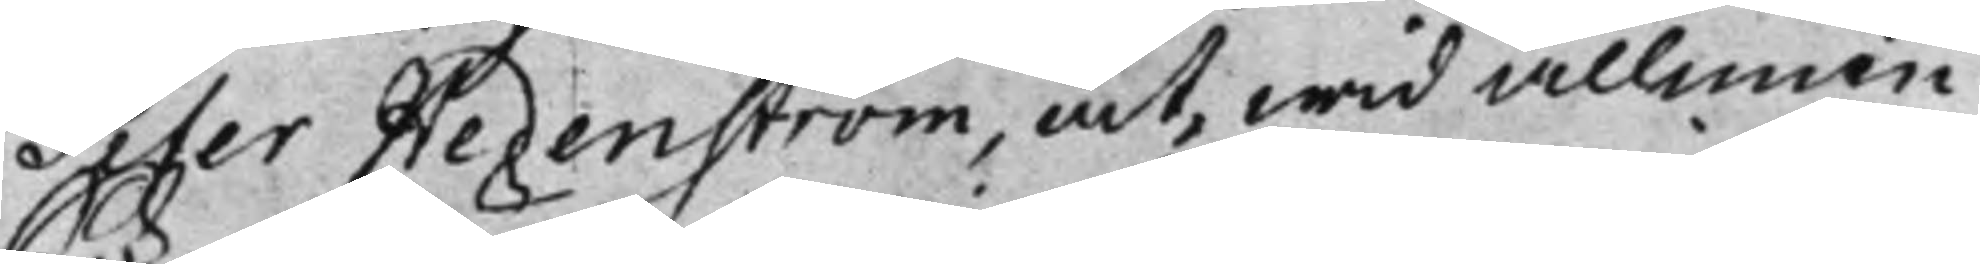Peter Hedenström, at, wid allmän
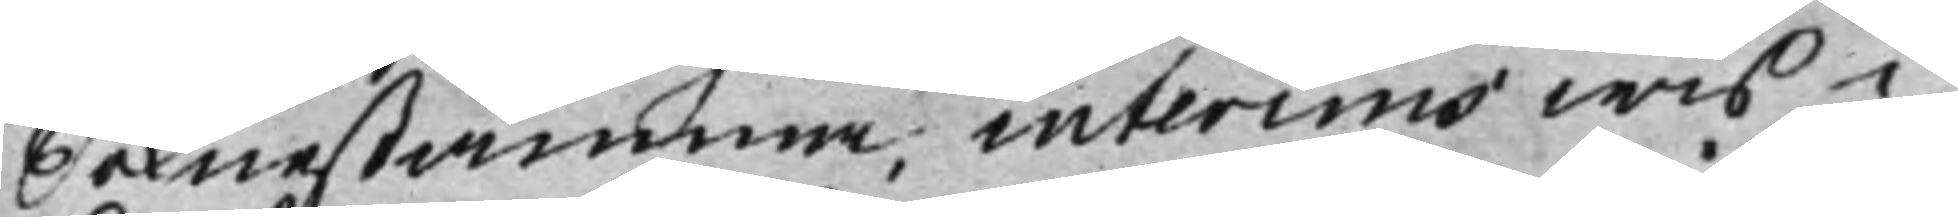Soknestämma, interims wis i
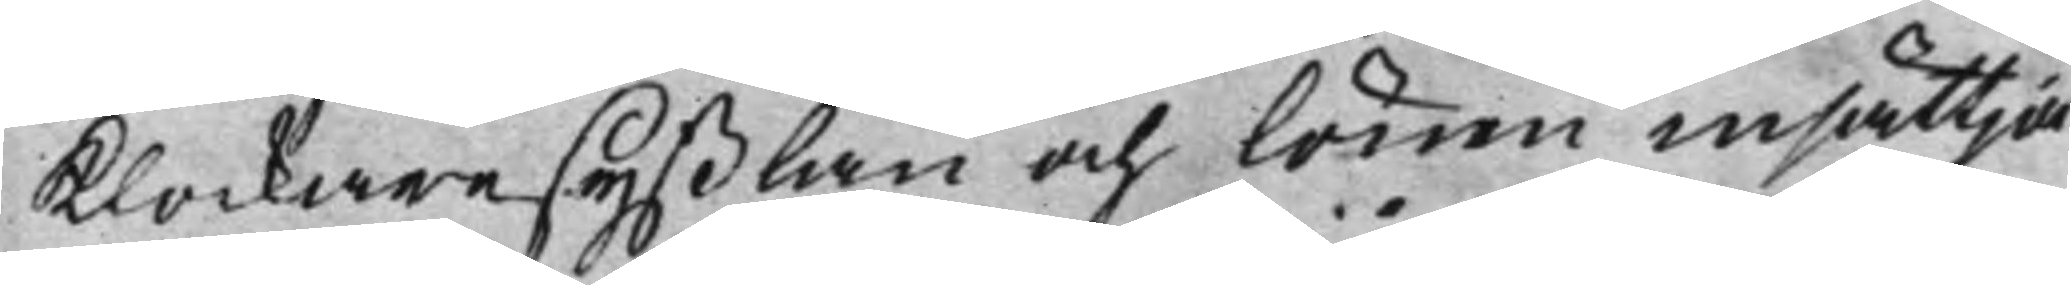Klockaresyßlan och lönen insättja
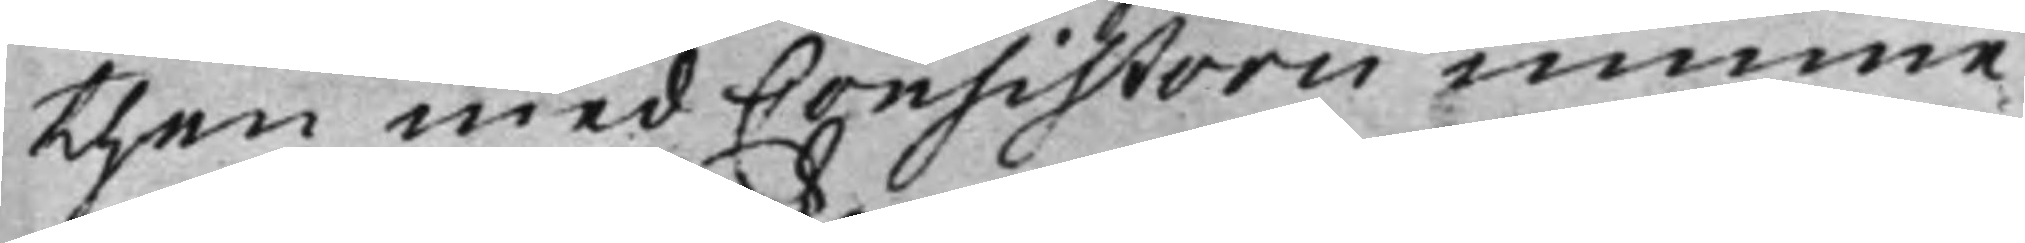then med Consistorii minne
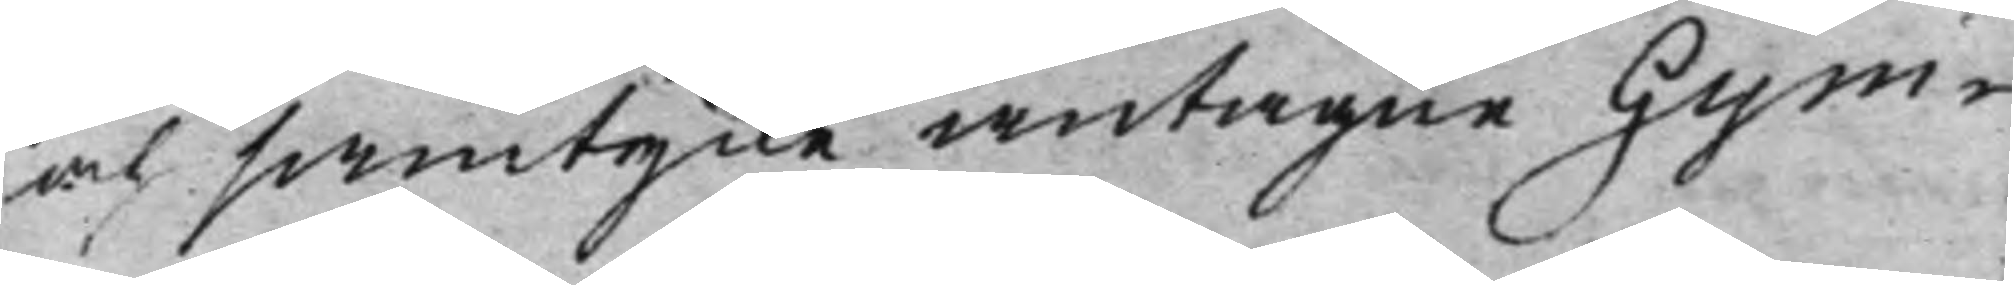och samtycke antagne Gym¬
